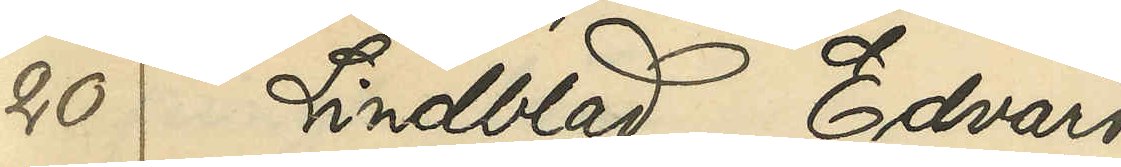20 Lindblad, Edvard
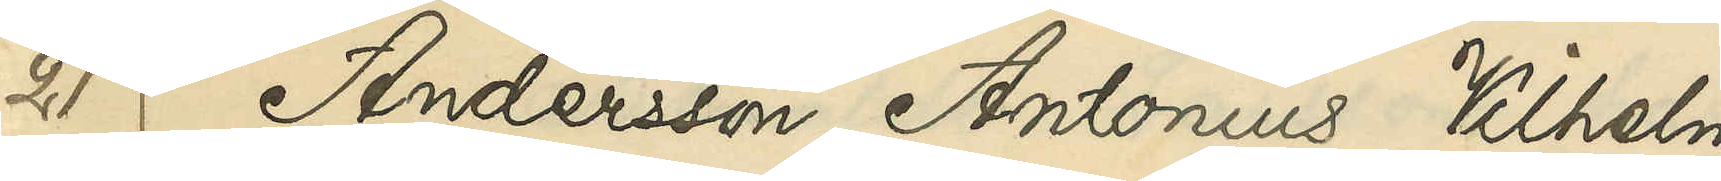21 Andersson, Antonius Vilhelm
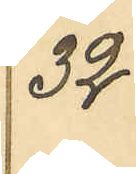32
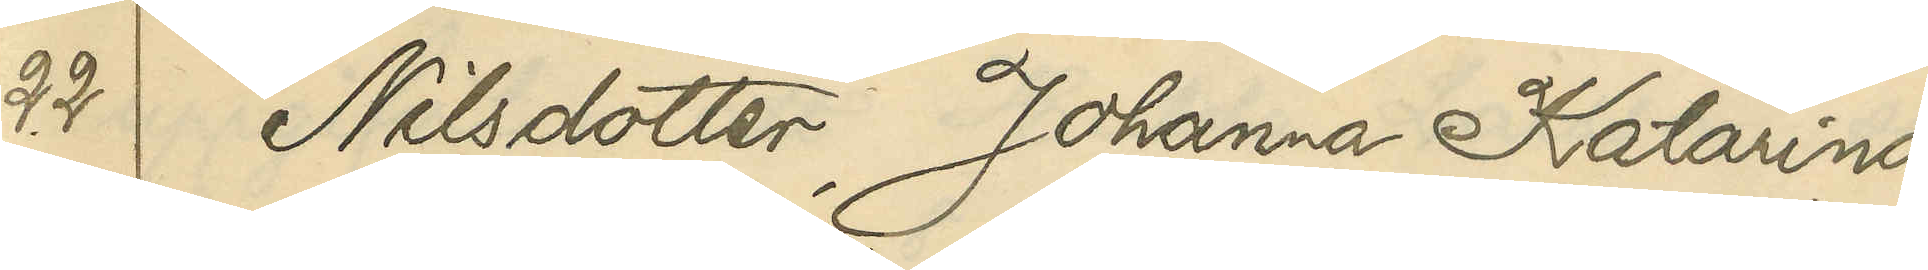22 Nilsdotter, Johanna Katarina
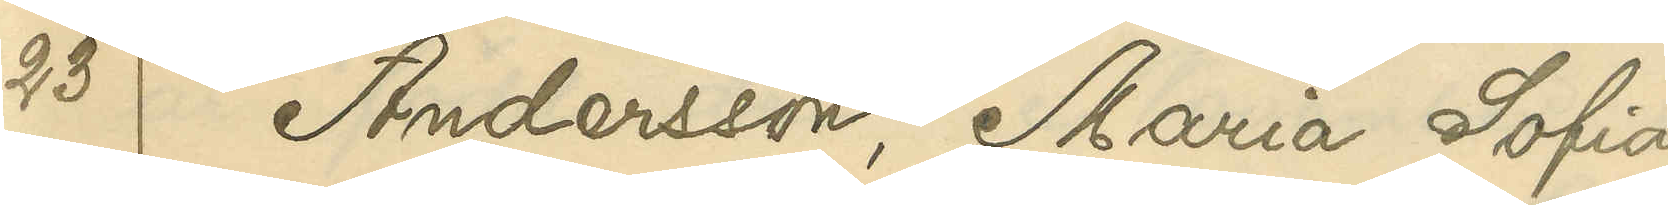23 Andersson, Maria Sofia
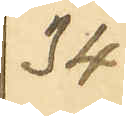34
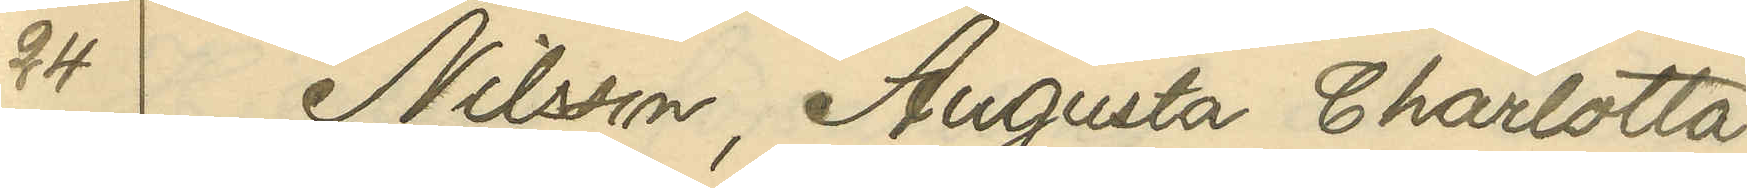24 Nilsson, Augusta Charlotta
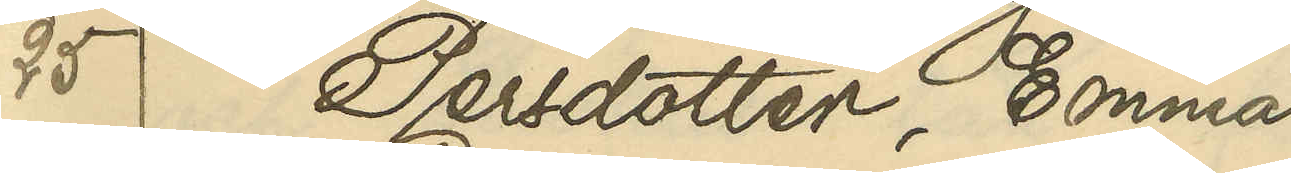25 Persdotter, Emma
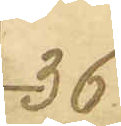36
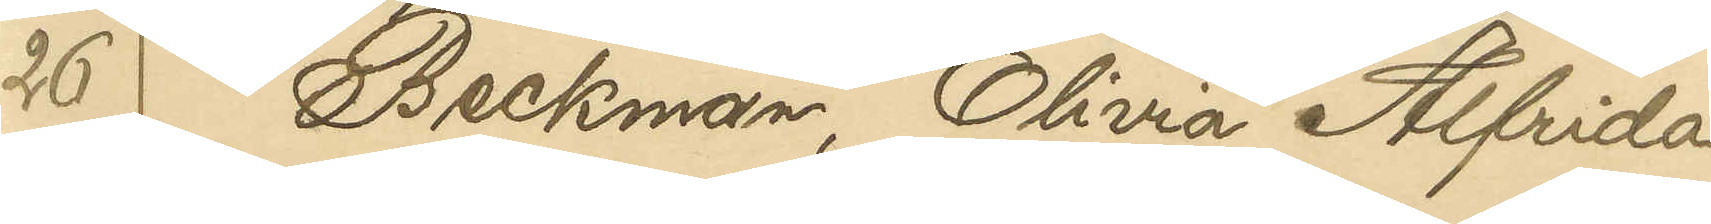26 Beckman, Olivia Alfrida
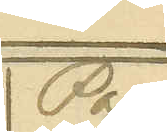Pag.
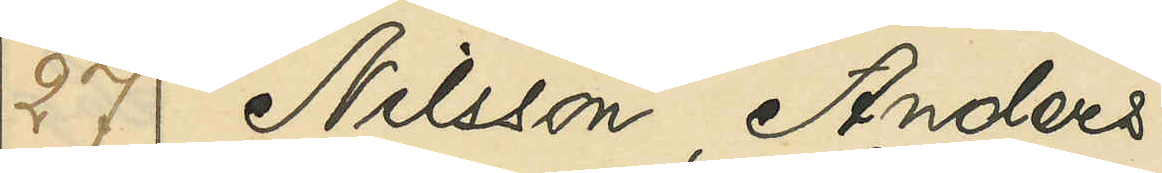27 Nilsson, Anders
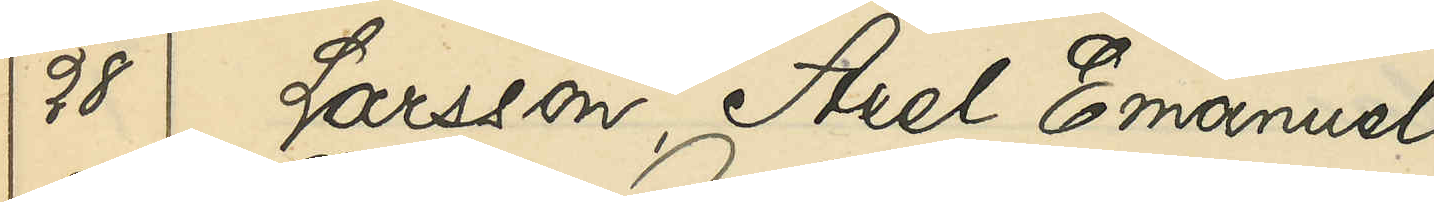28 Larsson, Axel Emanuel
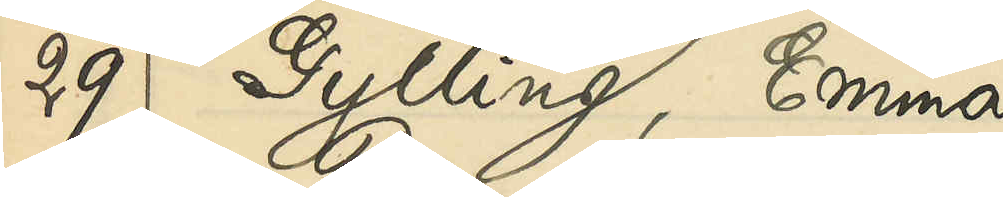29 Gylling, Emma
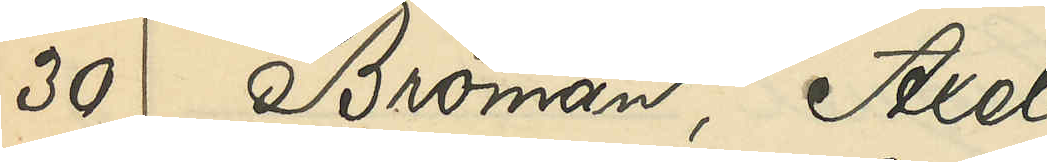30 Broman, Axel
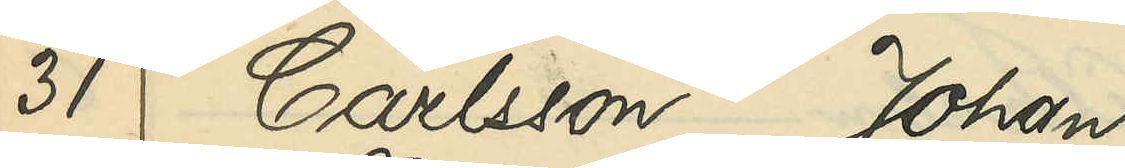31 Carlsson, Johan
